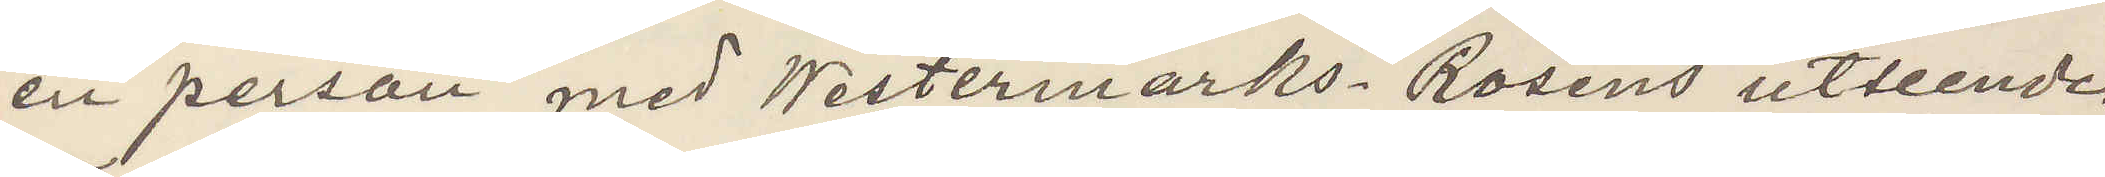en person med Westermarks Rosens utseende.
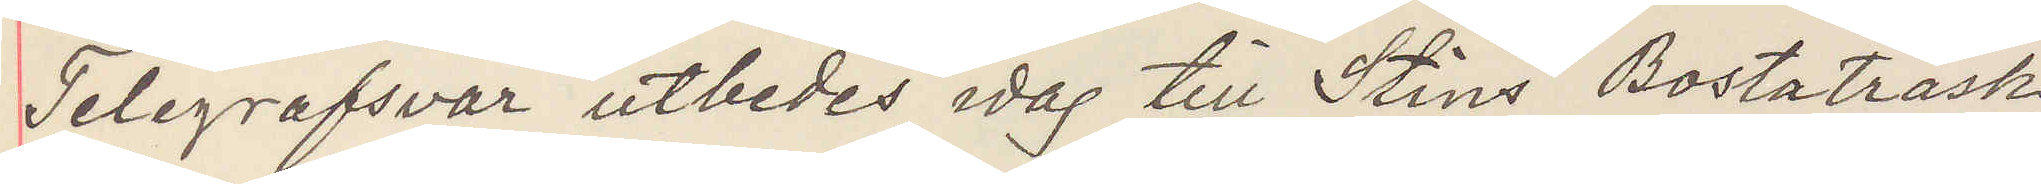Telegrafsvar utbedes idag till Stins Bostaträsk
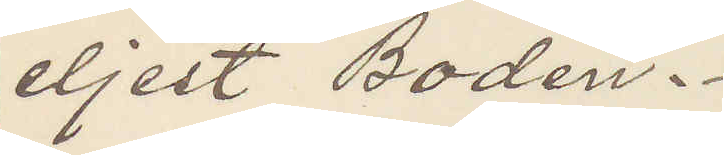eljest Boden.
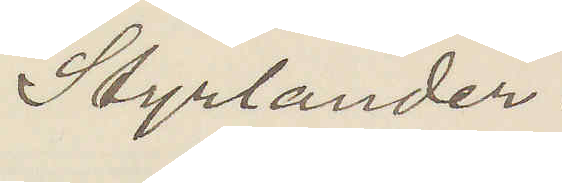Styrlander.
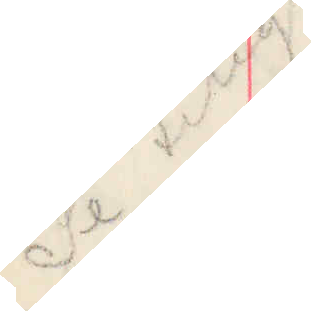Se telegram
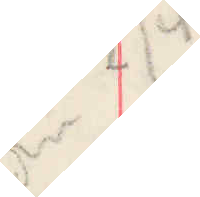den 2/4
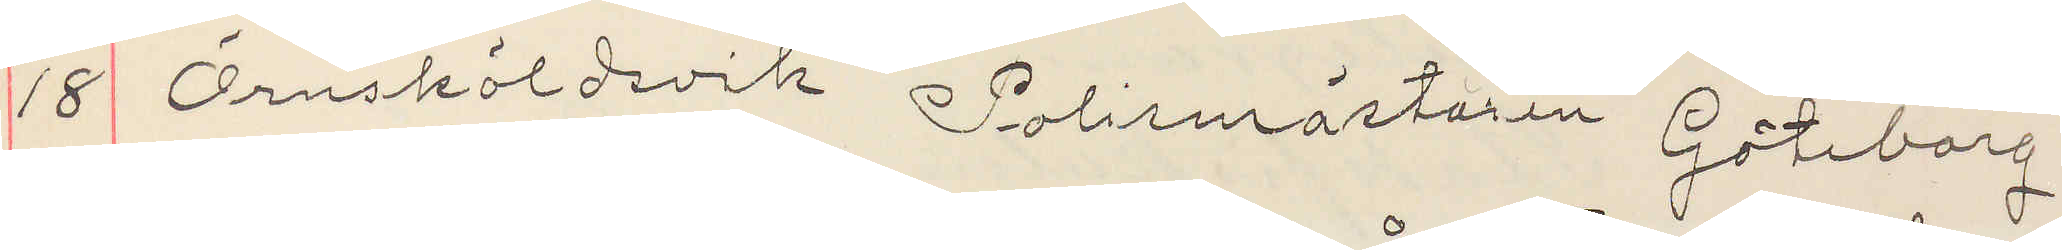18 Örnsköldsvik Polismästaren Göteborg
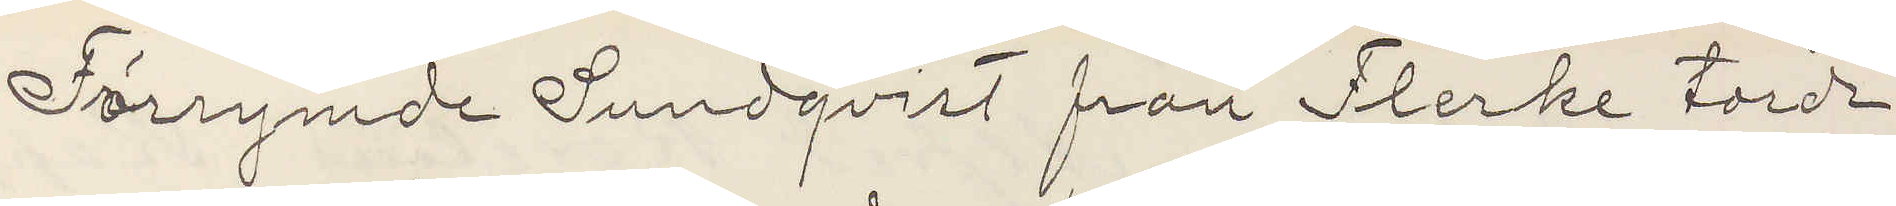Förrymde Sundqvist från Flerke torde
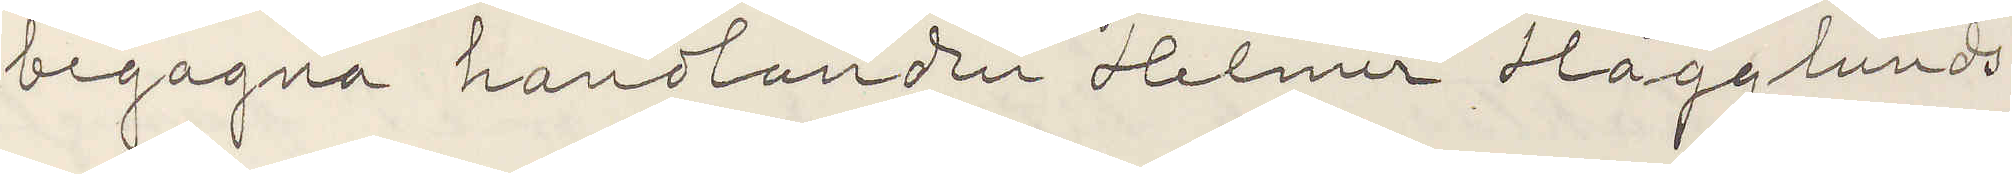begagna handlanden Helmer Hägglunds
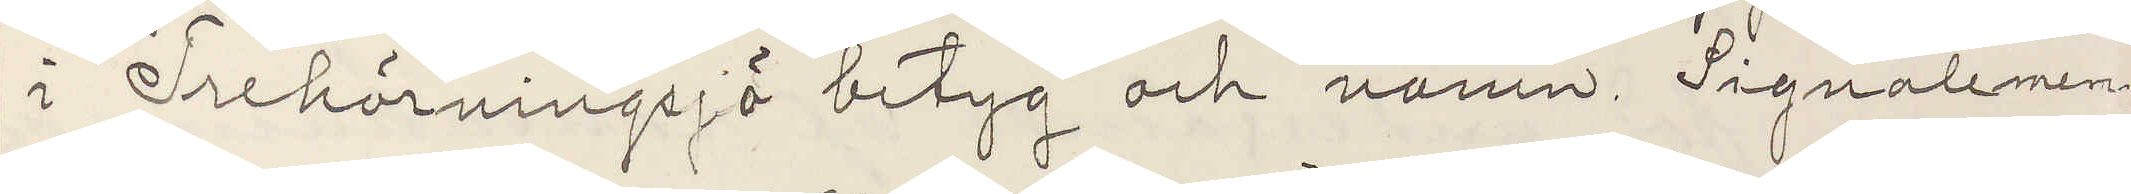i Trehörningsjö betyg och namn Signalemen¬
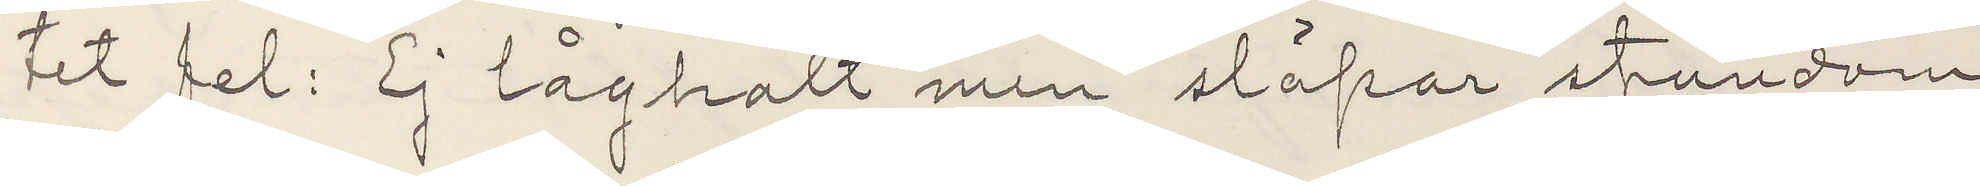tet fel: Ej låghalt men släpar stundom
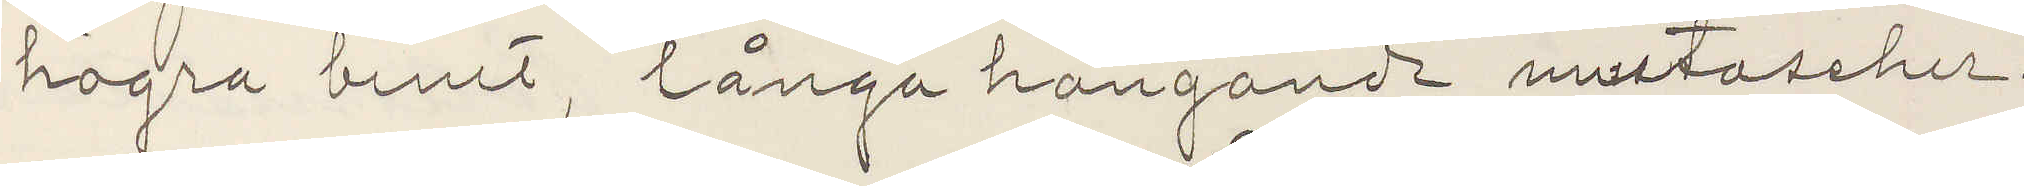högra benet, långa hängande mustascher.
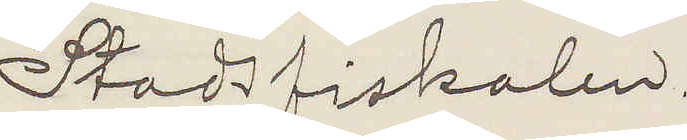Stadsfiskalen.
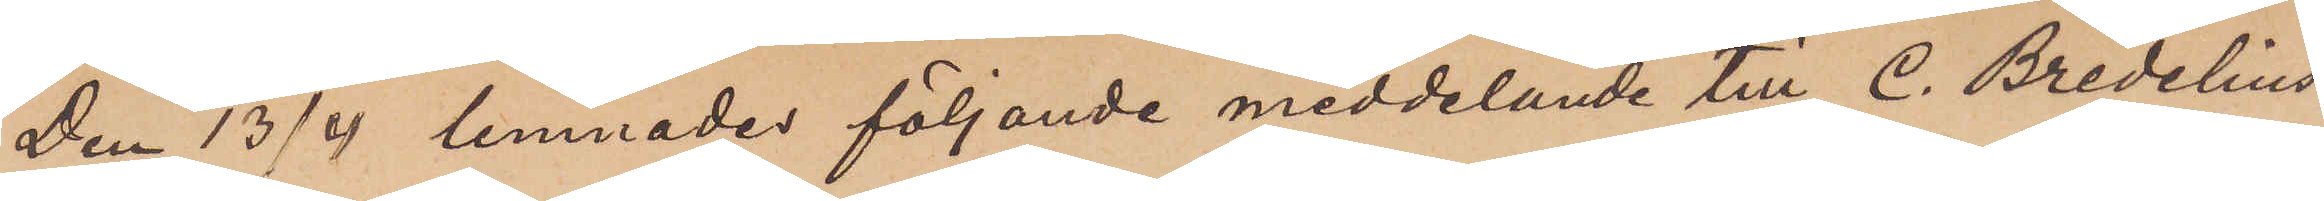Den 13/4 lemnades följande meddelande till C. Bredelius:
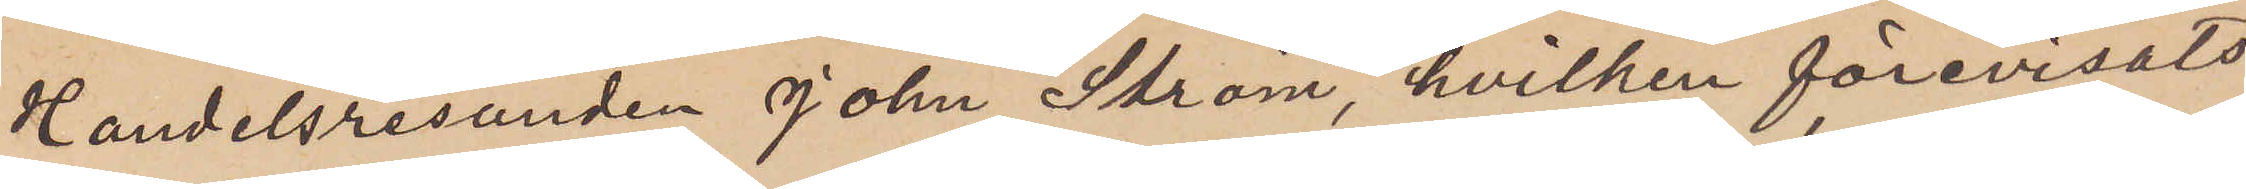Handelsresanden John Ström hvilken förevisats
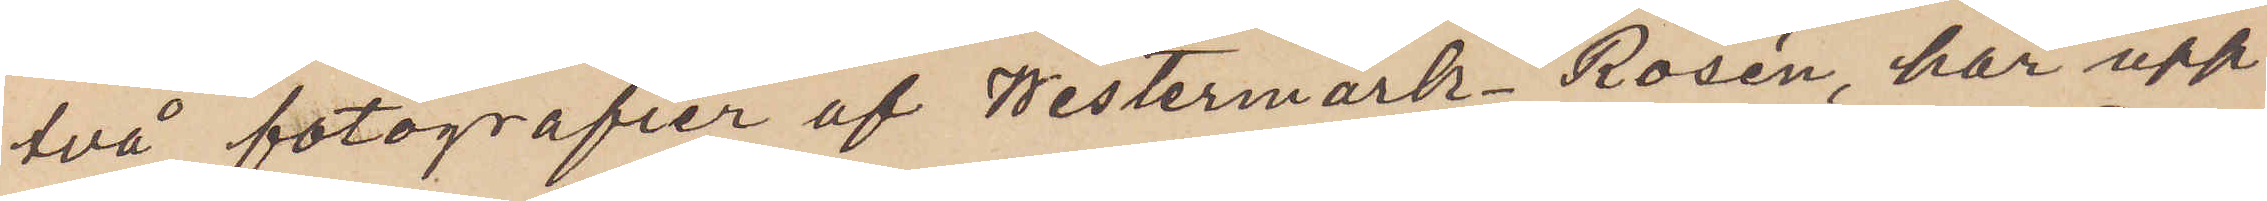två fotografier af Westermark-Rosén, har upp¬
